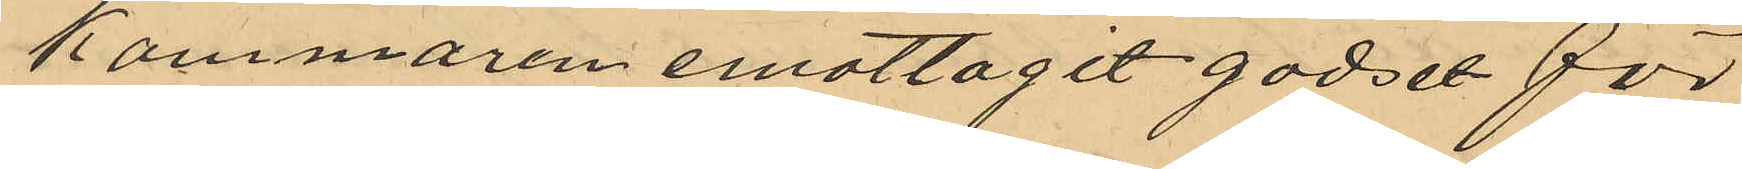kammaren emottagit godset för
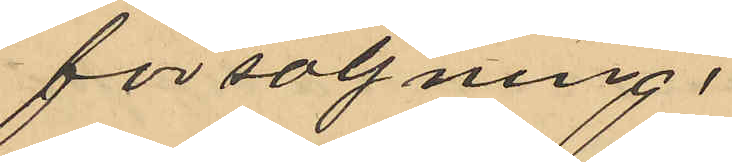försäljning.
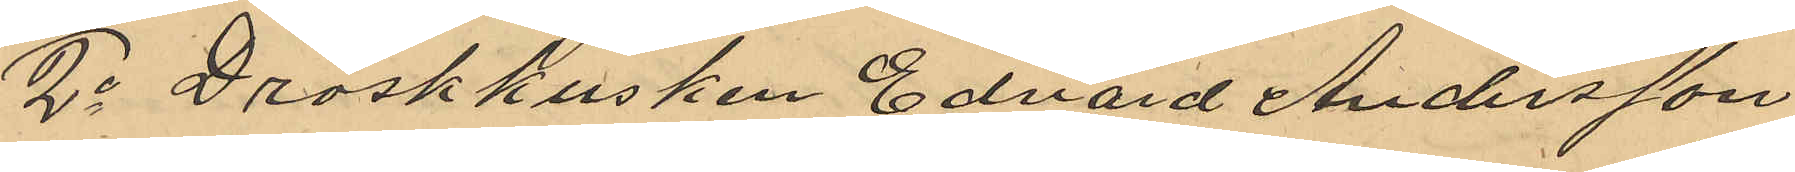2o Droskkusken Edvard Andersson
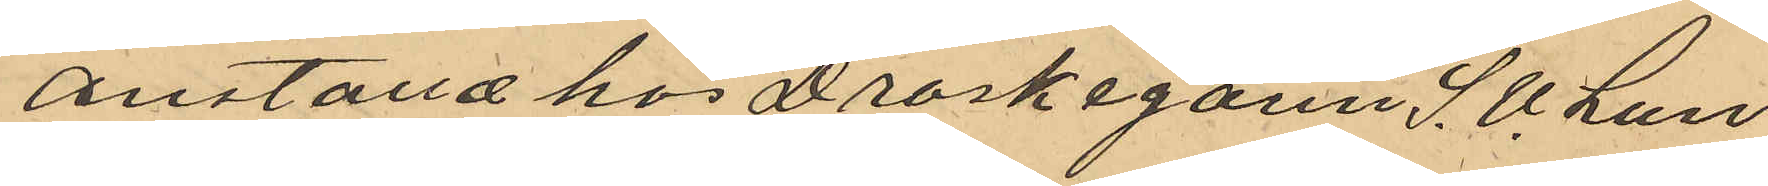anställd hos Drosksgan S. U. Lun¬
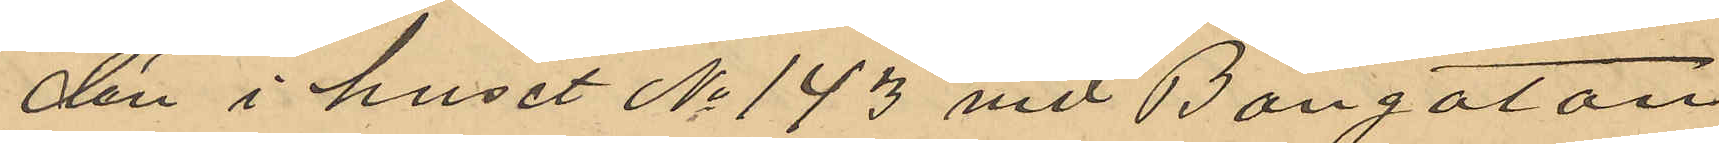dén i huset No 143 vid Bangatan
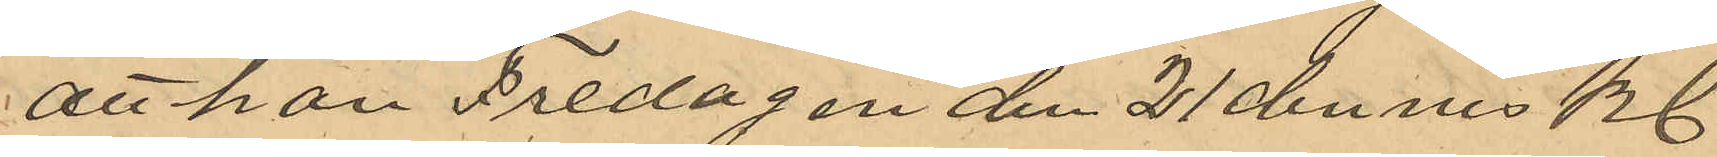att han Fredagen den 21 dennes kl
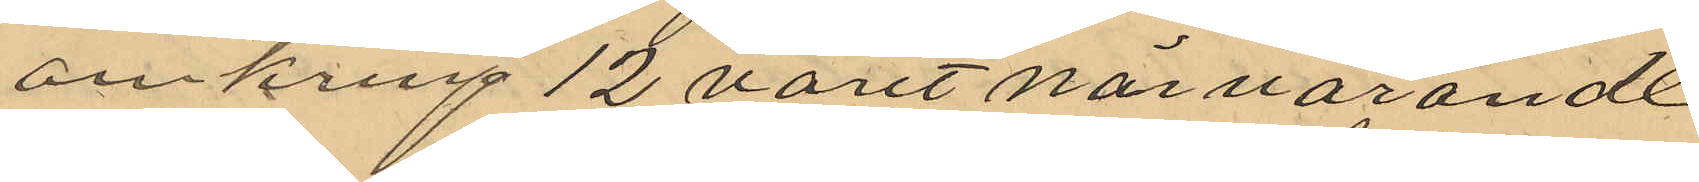omkring 12 varit närvarande
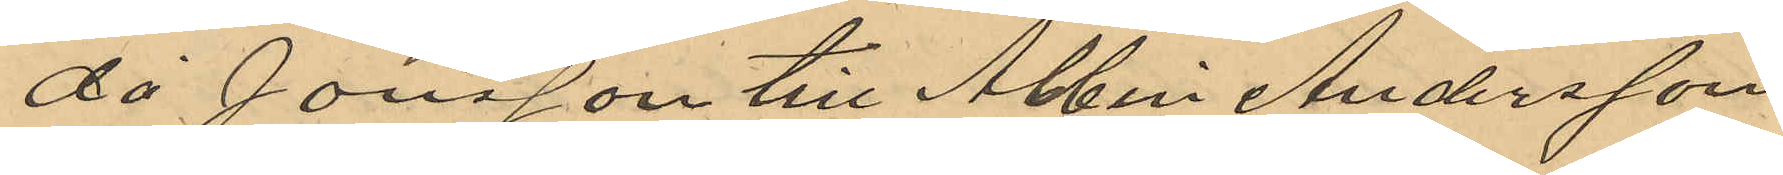då Jonsson till Abbin Andersson
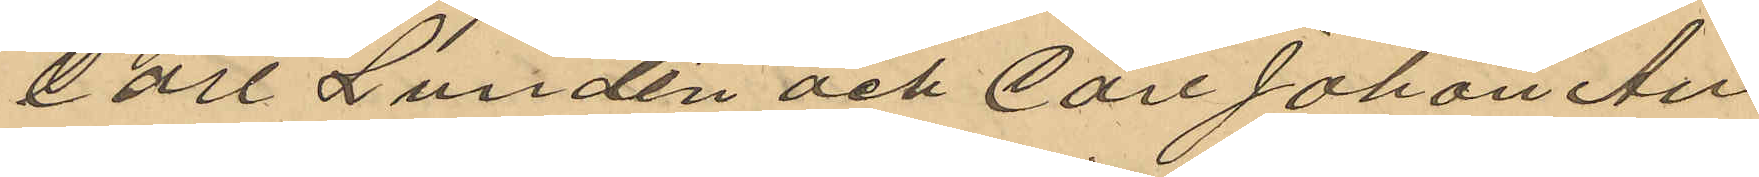Carl Lundén och Carl Johan An¬
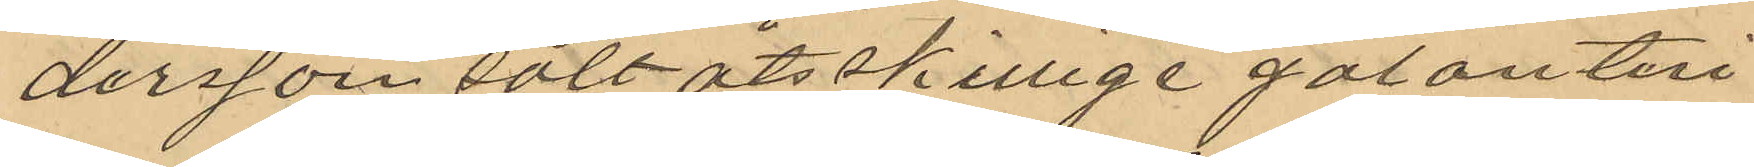dersson sålt åtsskillige galanteri
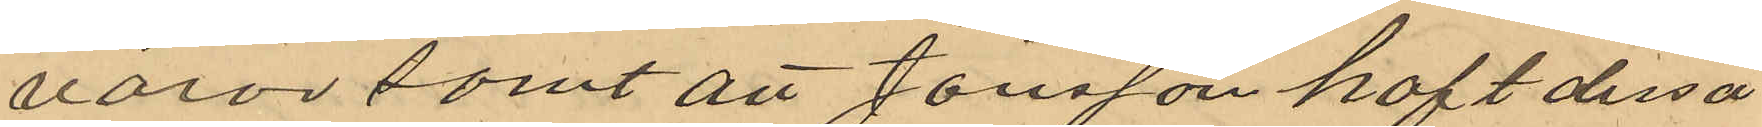varor samt att Jonsson haft dessa
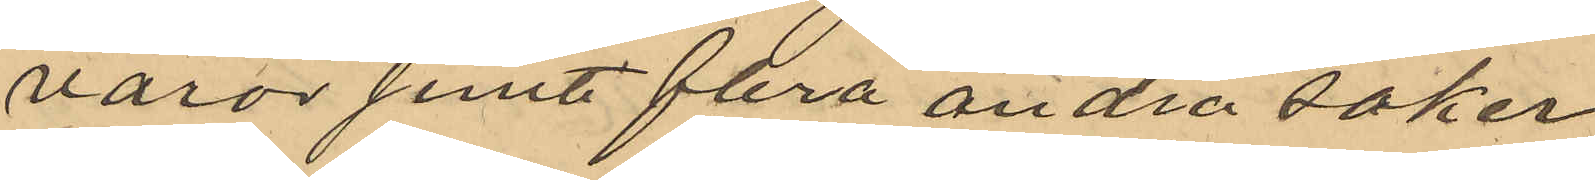varor samt flera andra saker
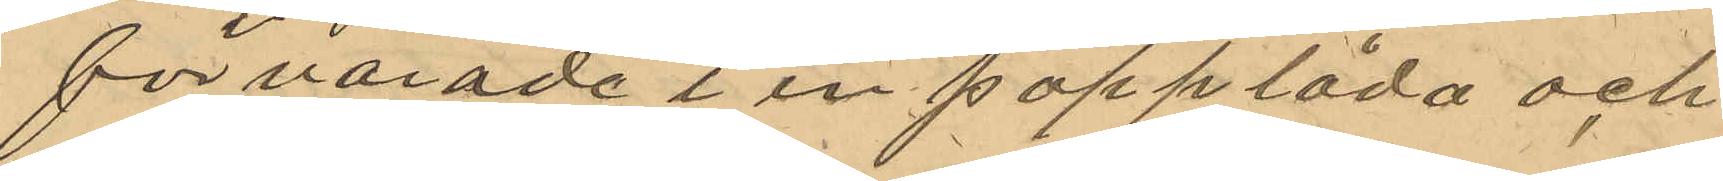förvarade i en papplåda och
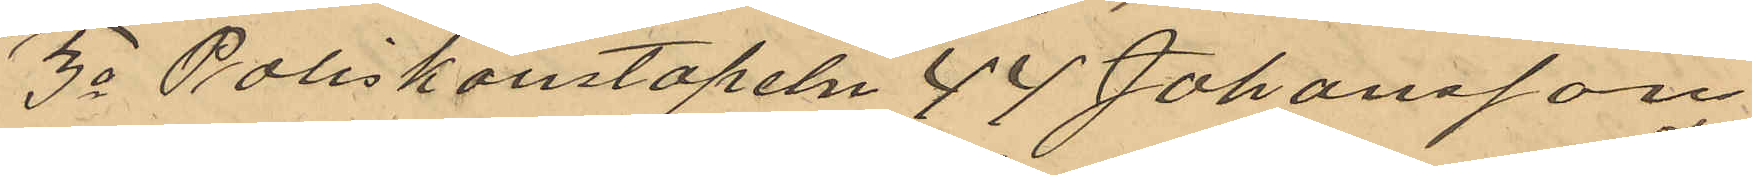3o Poliskonstapeln J. J. Johansson
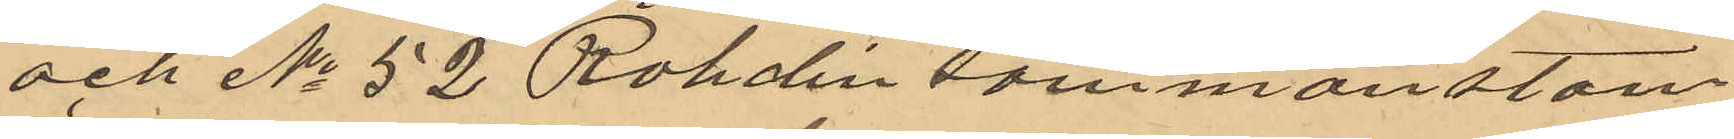och No 52 Rohdin sammanstäm
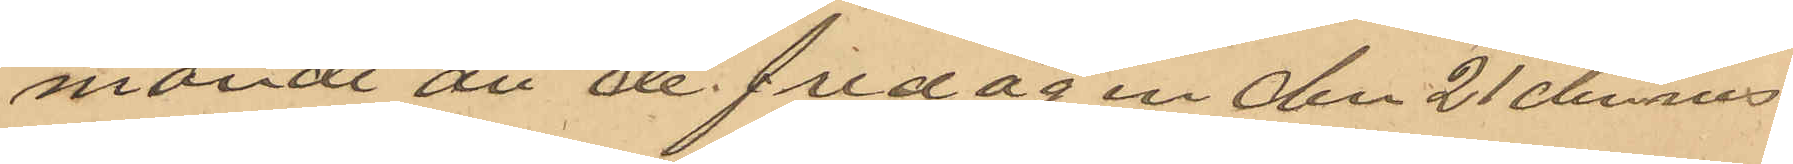mande att de fredagen den 21 dennes
